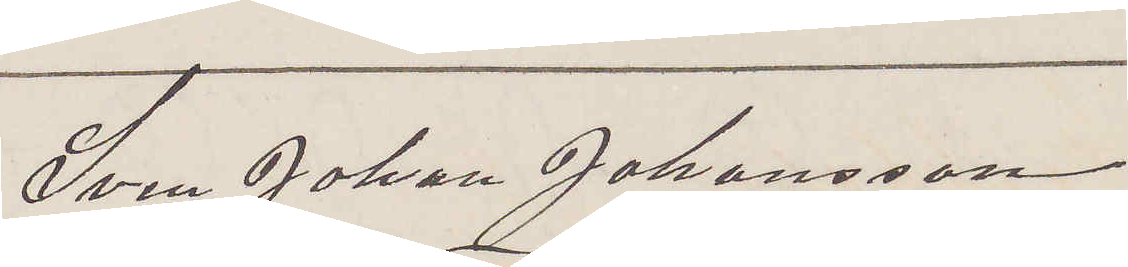Sven Johan Johanson
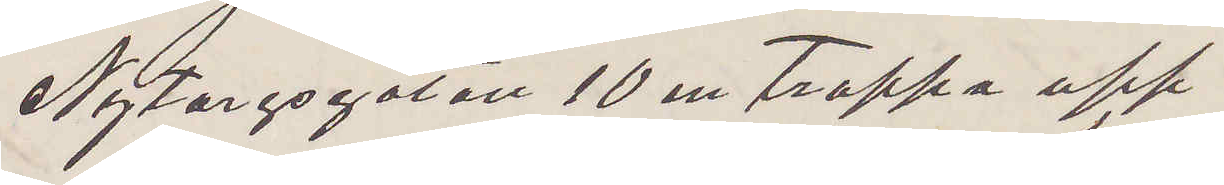Nytorgsgatan 10 en trappa upp
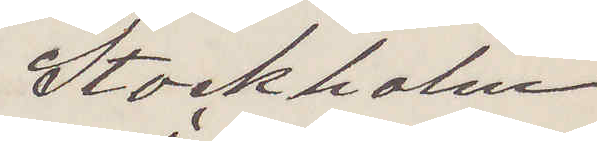Stockholm.
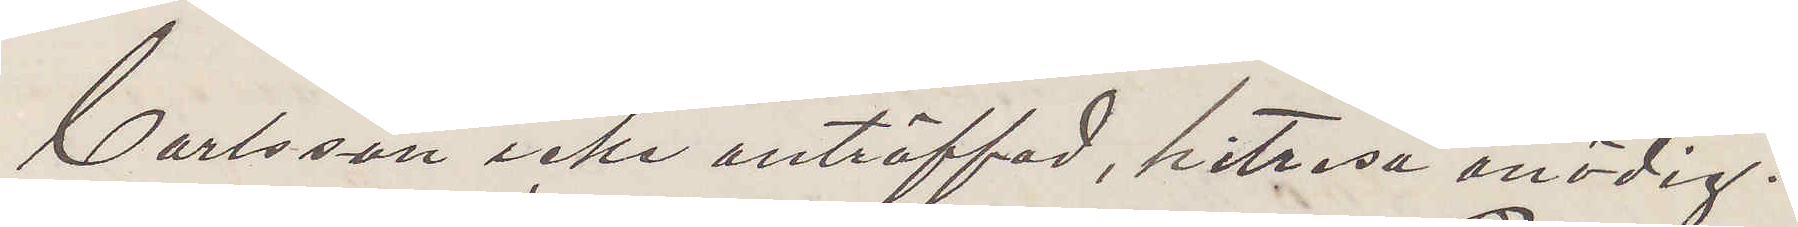Carlsson icke anträffad, hitresa onödig.
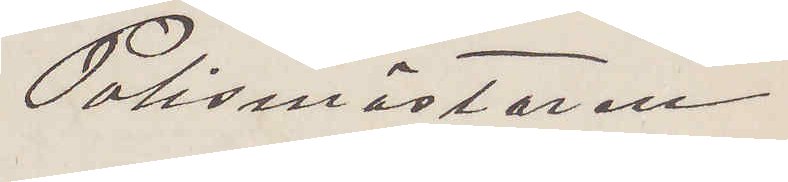Polismästaren
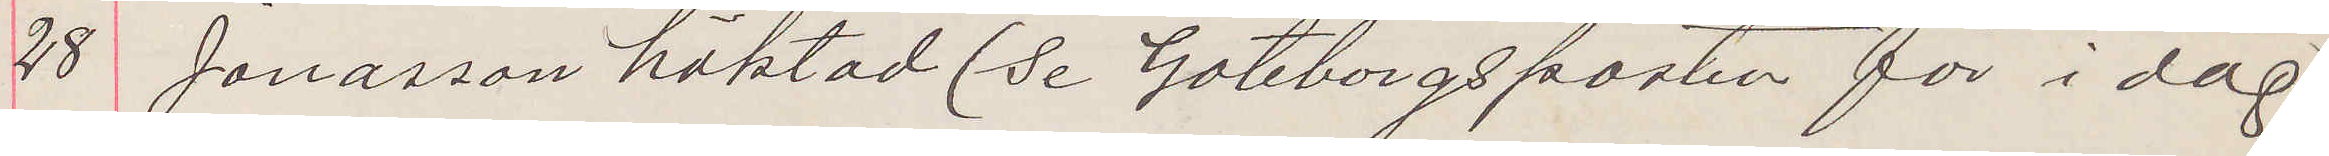28 Jonasson häktad (se Göteborgsposten för i dag)
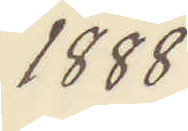1888
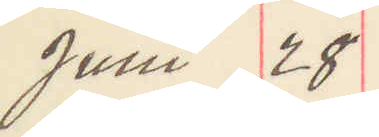Juni 28
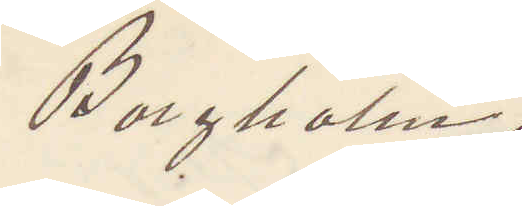Borgholm.
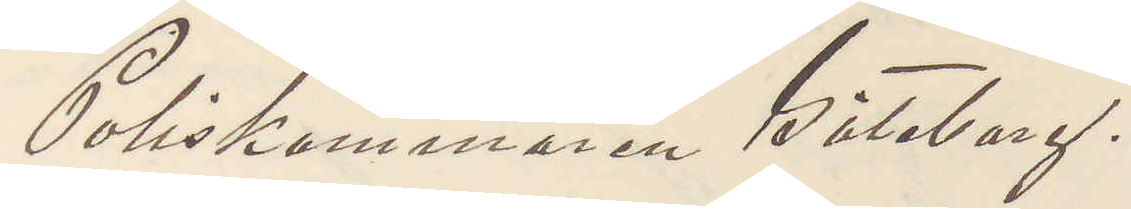Poliskammaren Göteborg.
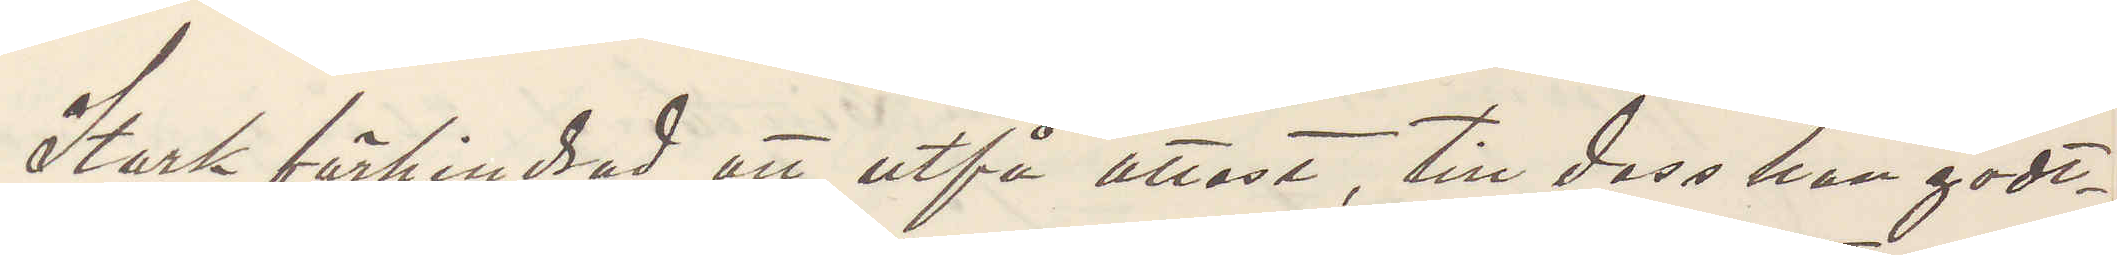Stark förhindrad att utfå attest, till dess han godt¬
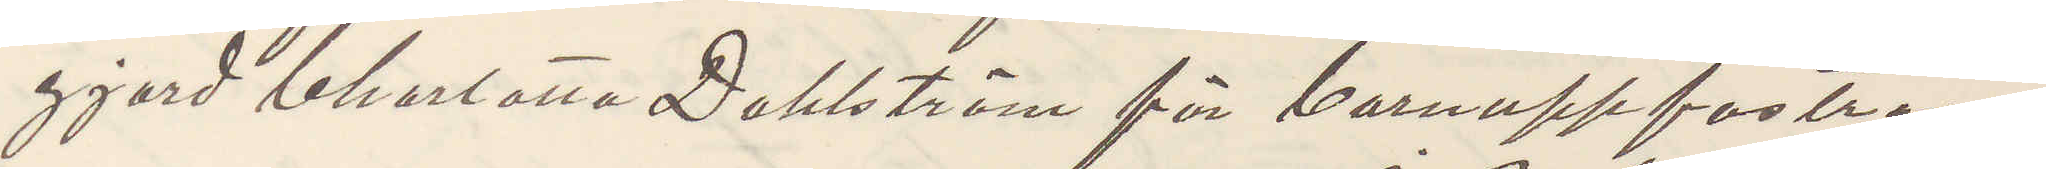gjord Charlotta Dahlström för barnuppfostran.
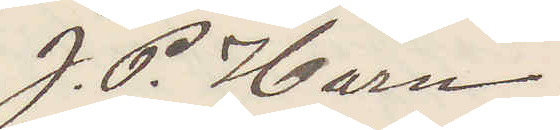J. P. Harn
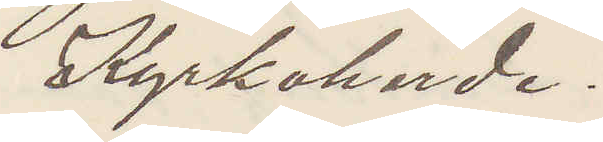Kyrkoherde.
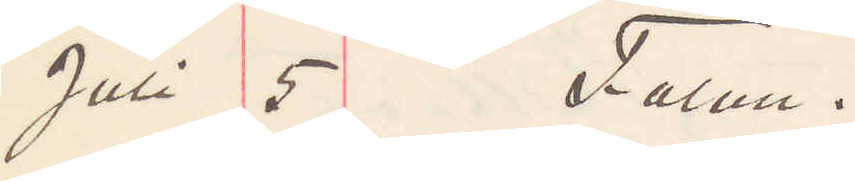Juli 5 Falun.
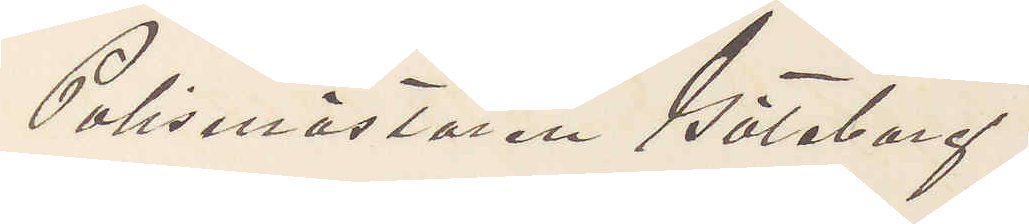Polismästaren Göteborg.
